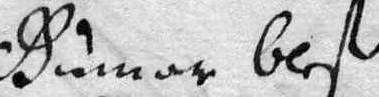Gunar blef
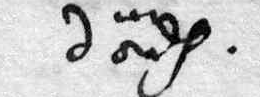dödh.
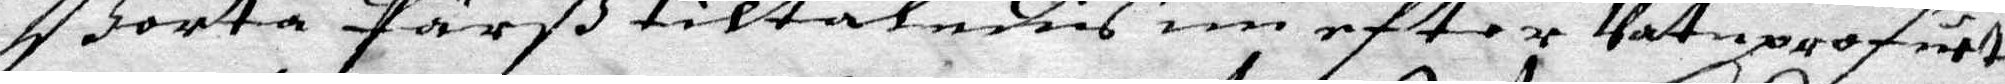Börta Pärß tiltaladis nu eftter Vatuprofuet
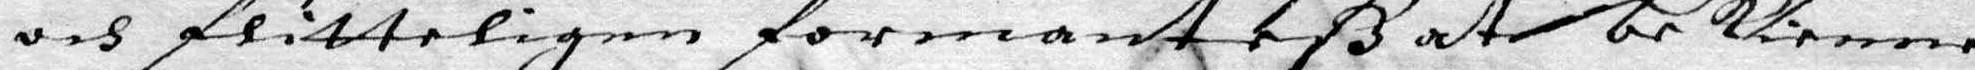och flitteligen formanteß at bekienna
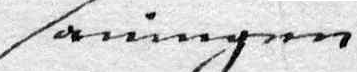sanningen
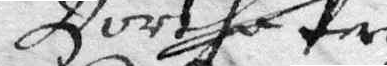Börtha Pers
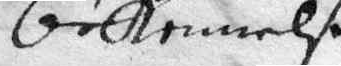bekennelse.
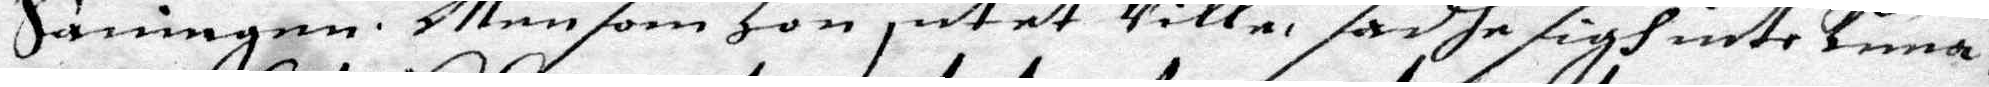Sanningen. Men som Hon intet Ville, sadhe sigh inte kuna,
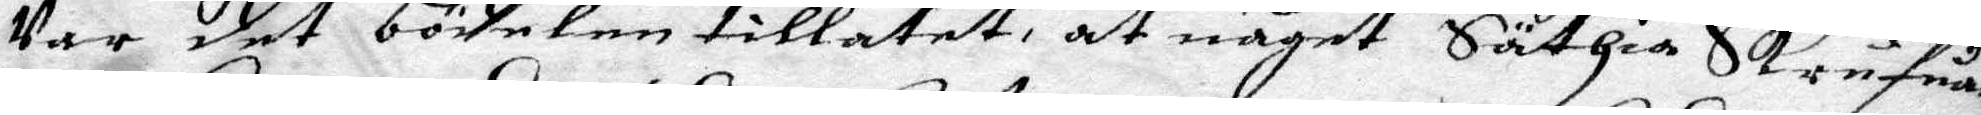Var det bödelen tillatet, at något Säthia Skrufuar
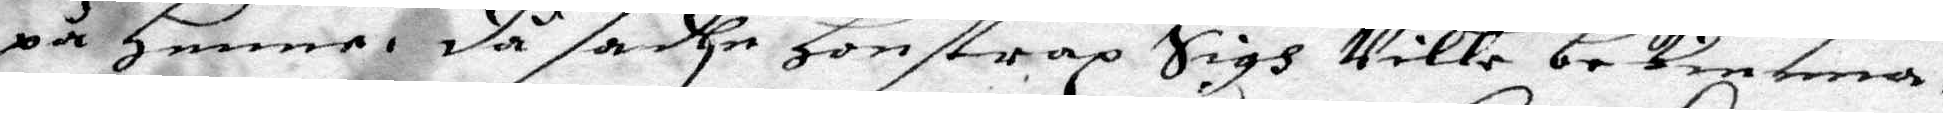på henne, då sadhe Hon strax Sigh Ville bekienna,
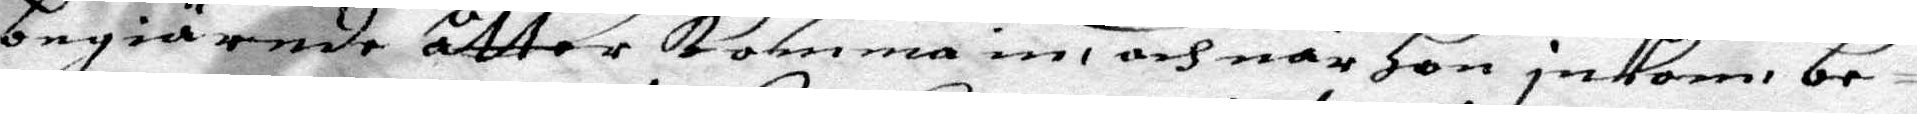begiärande åtter komma in, och när Hon inkom, be¬
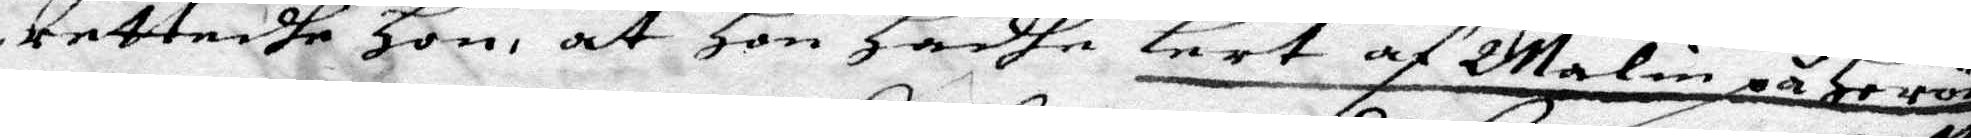rettadhe Hon, at Hon Hadhe lert af Malin på Herön
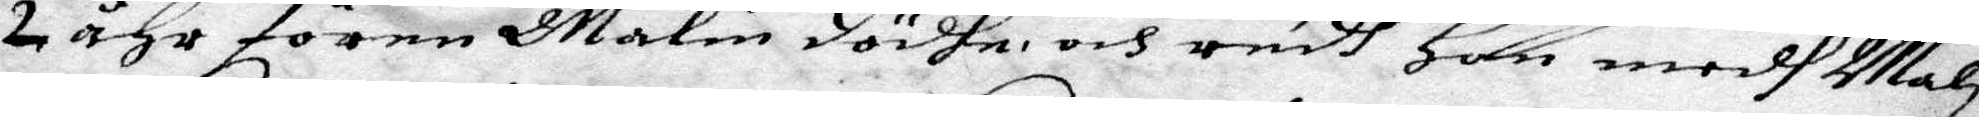2 åhr fören Malin dödhe och redh Hon medh Mali
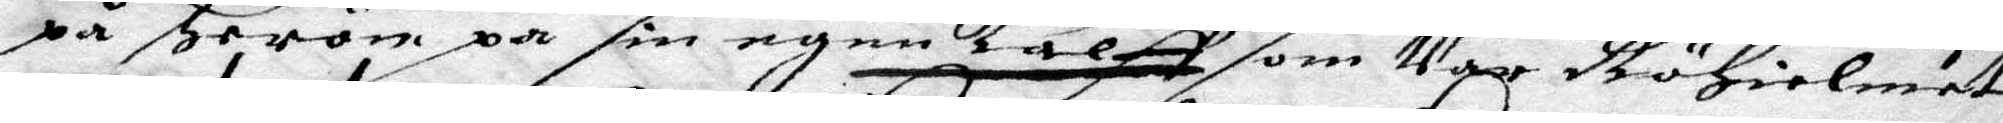på Herön på sin egen kalff som Var RöHielmet,
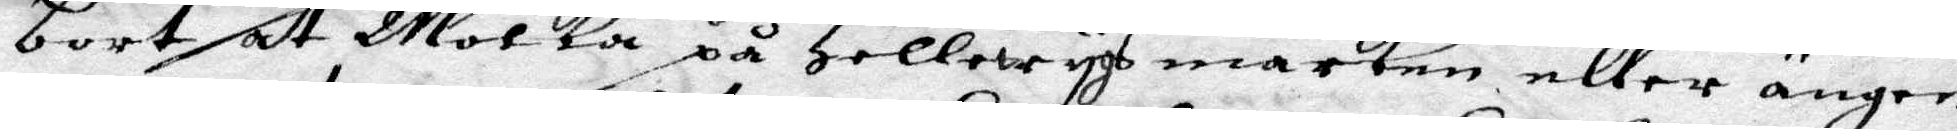bort at Molka på Hollewygs marken eller ängen
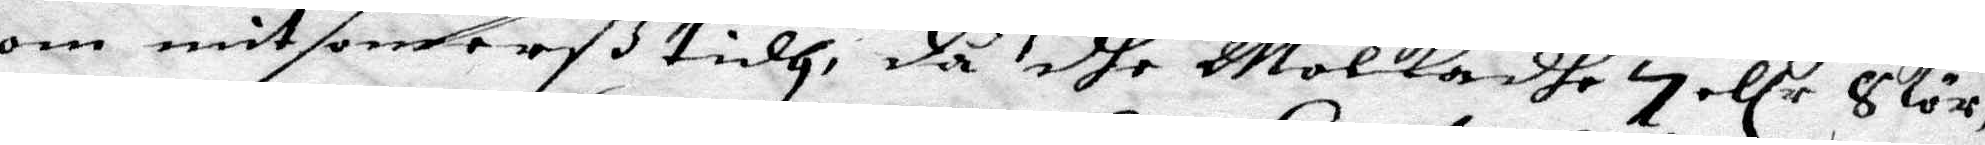om mitsomaßtidh, då dhe Molkadhe 7 ellr 8 kör
